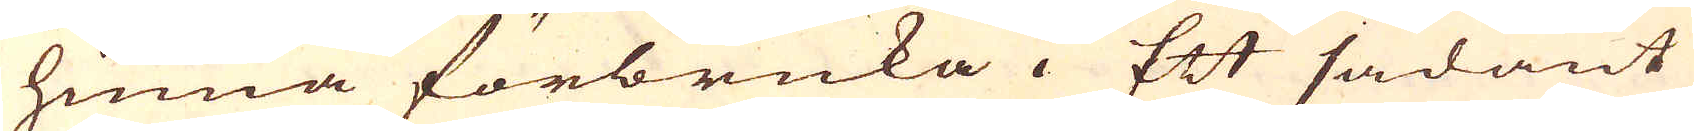hinna förbruka. Ett sådant
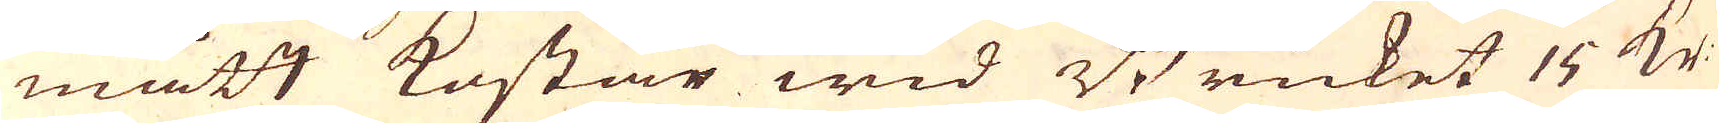mått kostar wid Bruket 15 kr.
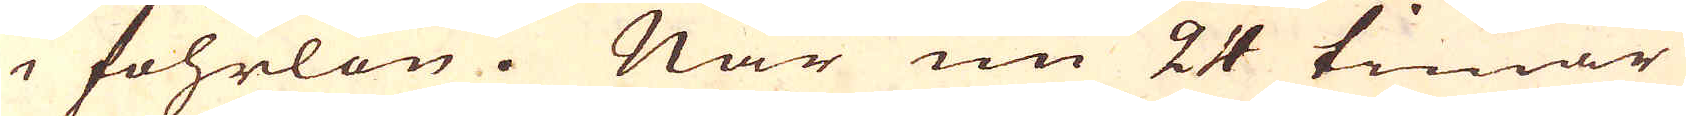i fohrlön. När nu 24 timar
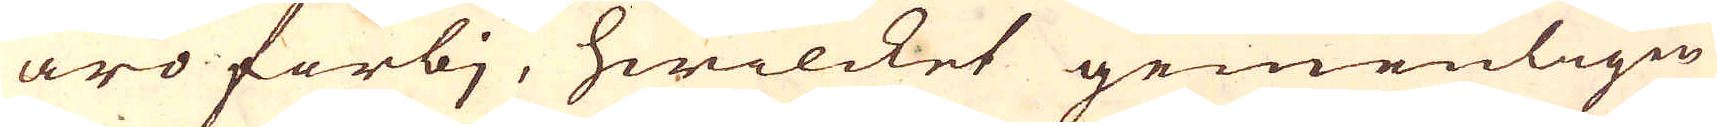äro förbj, hwilcket gemenligen
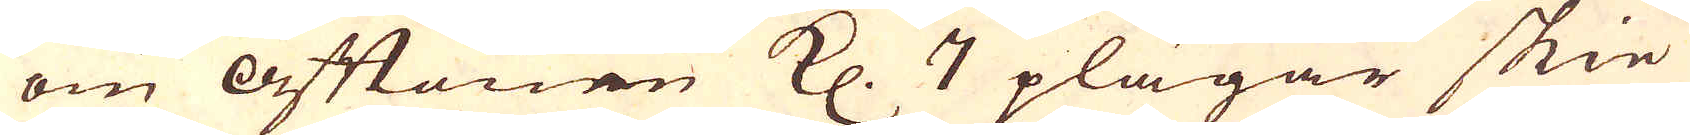om Aftonen Kl. 7 plägar skie
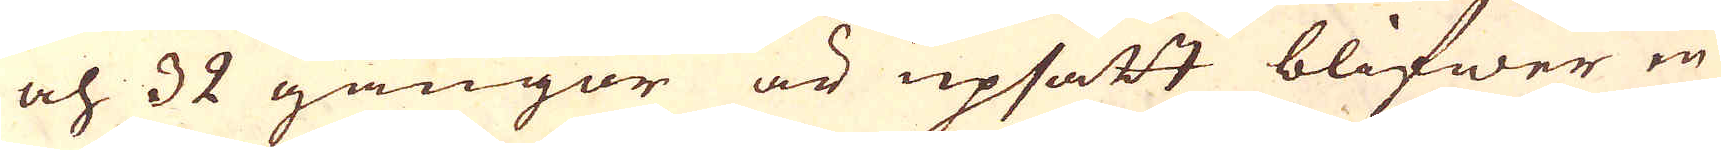och 32 gångor är upsatt blifwer en
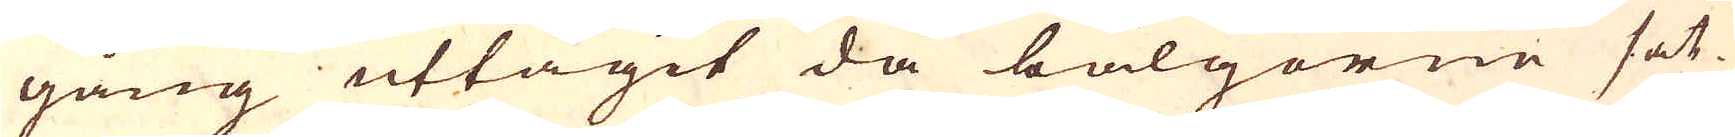gång uttagit då bälgorne sät-
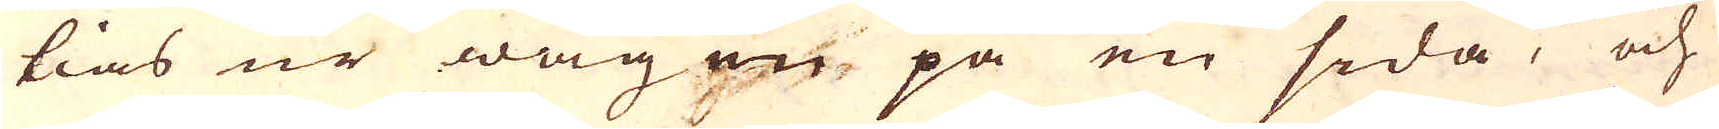tias ur wägen på en sida, och
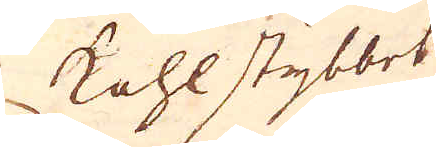kohlstybbet
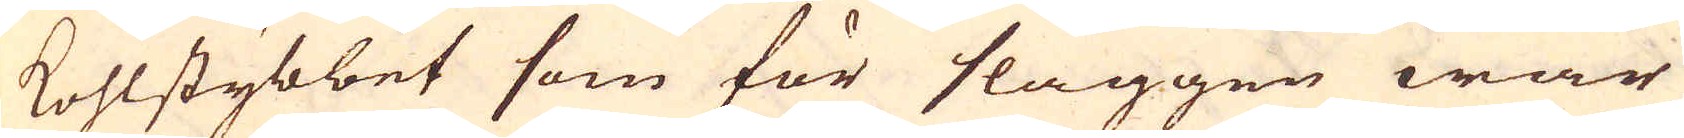kohlstybbet som för slaggen war
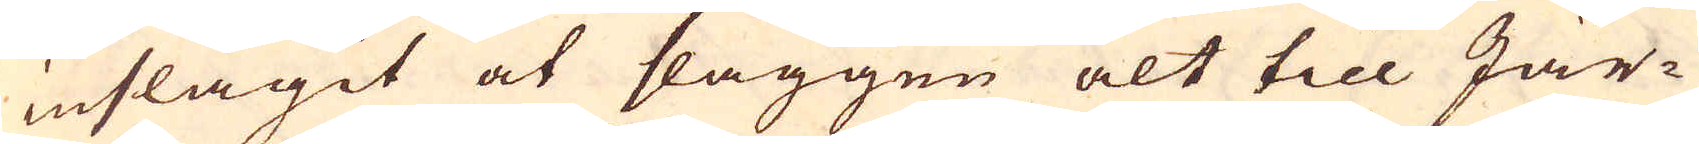inslagit at slaggen alt till Jär-
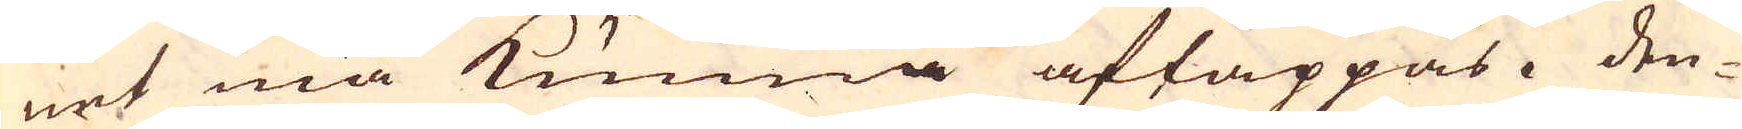net må kunna aftappas. Den-
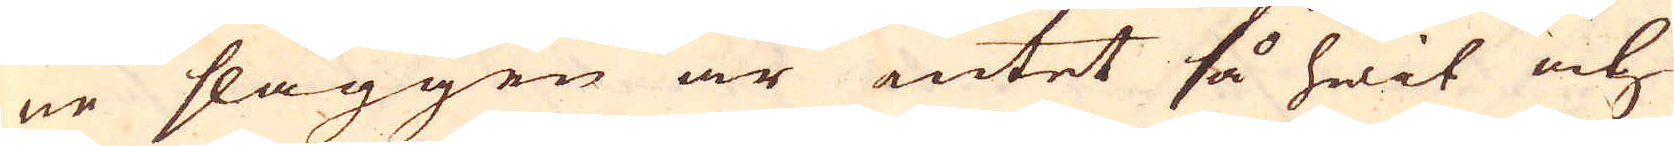ne slaggen är intet så hwit och
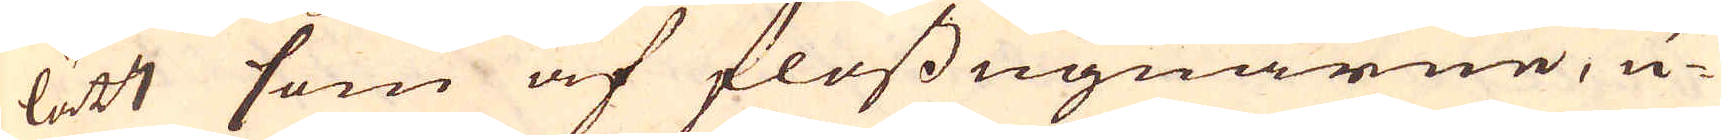lätt som af flossugnarne, u-
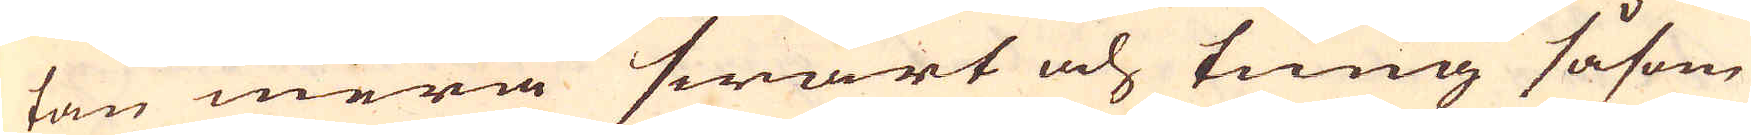tan mera swart och tiung såsom
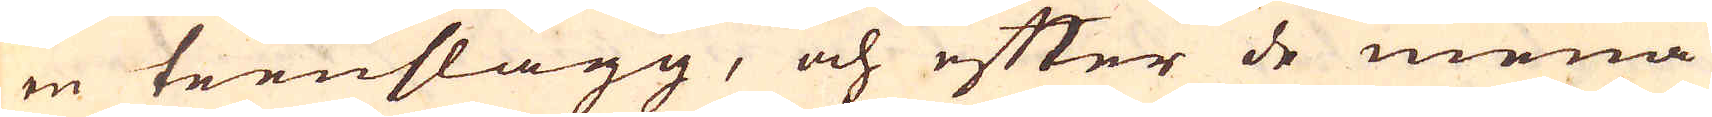en teenslagg, och efter de mena
